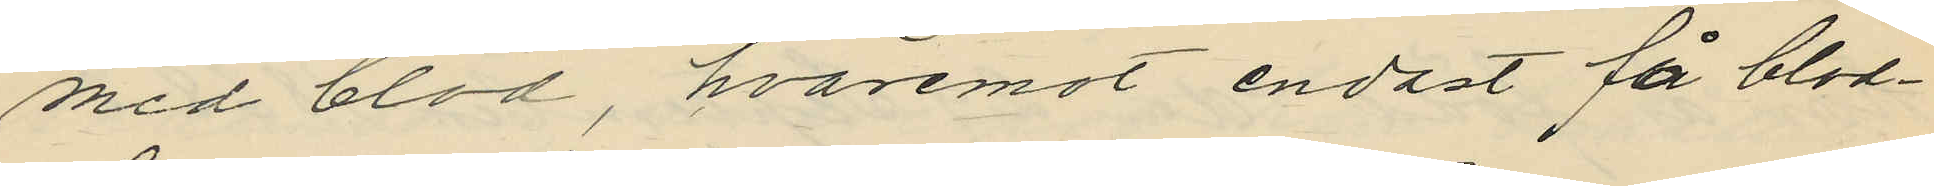med blod, hvaremot endast få blod¬
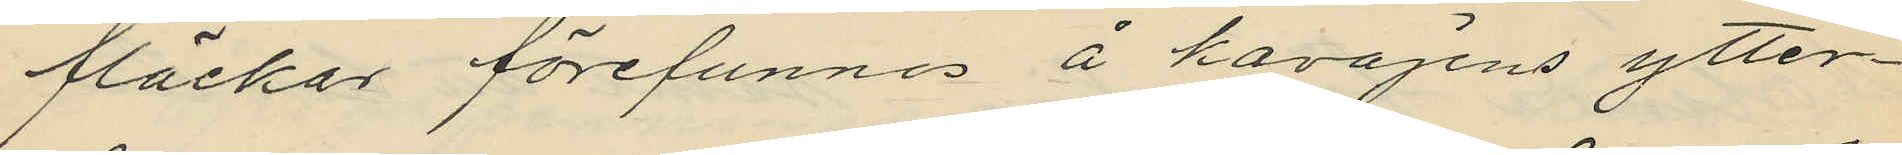fläckar förefunnes å kavajens ytter¬
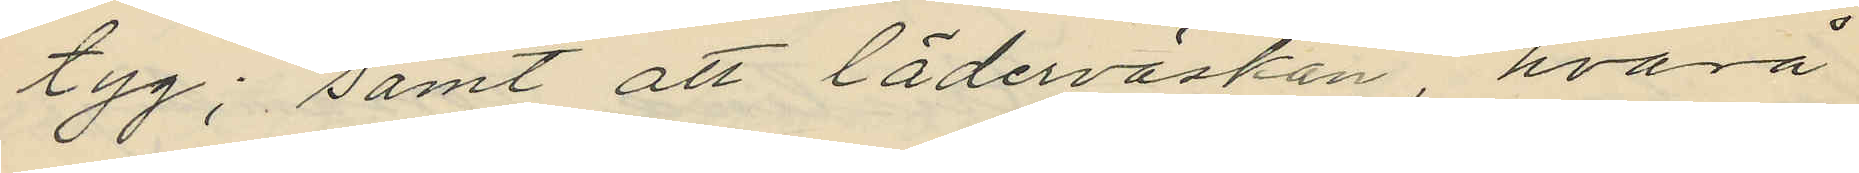tyg; samt att läderväskan, hvarå
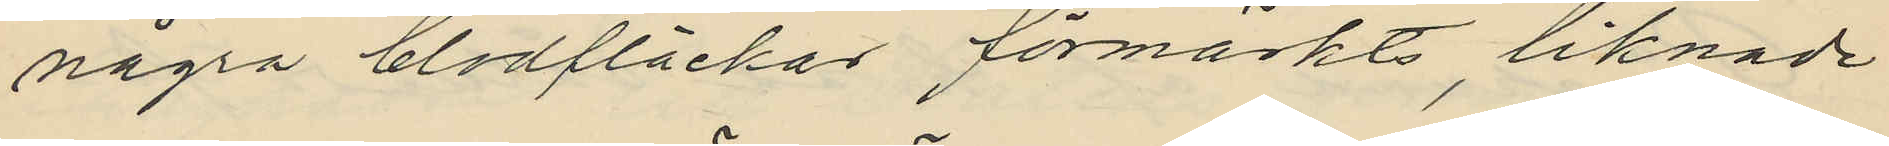några blodfläckar förmärkts, liknade
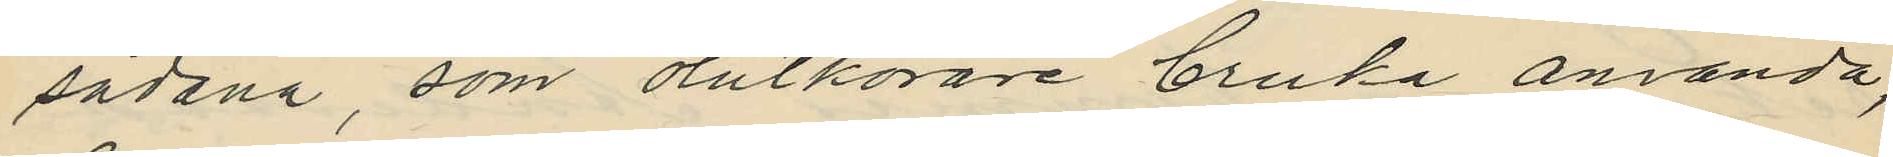sådana, som ölutkörare bruka använda,
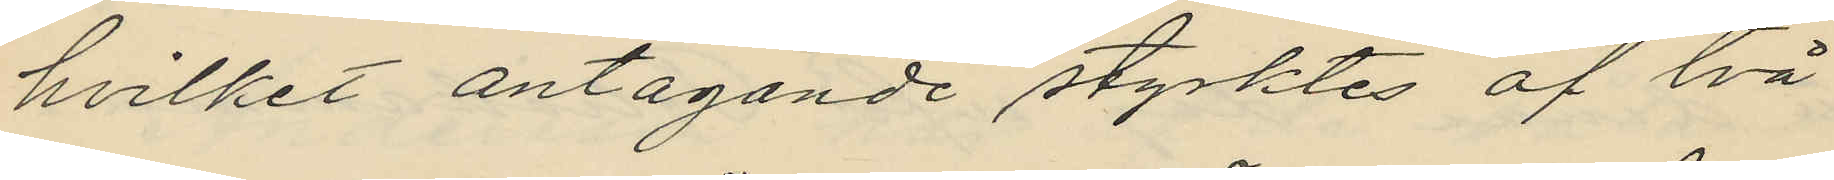hvilket antagande styrktes af två
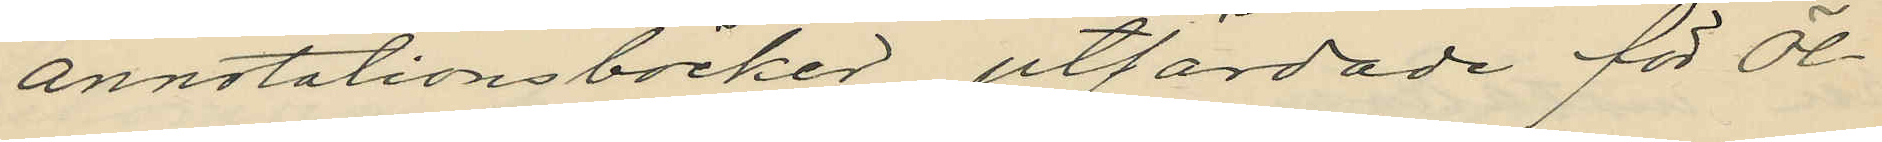annotationsböcker utfärdade för öl¬
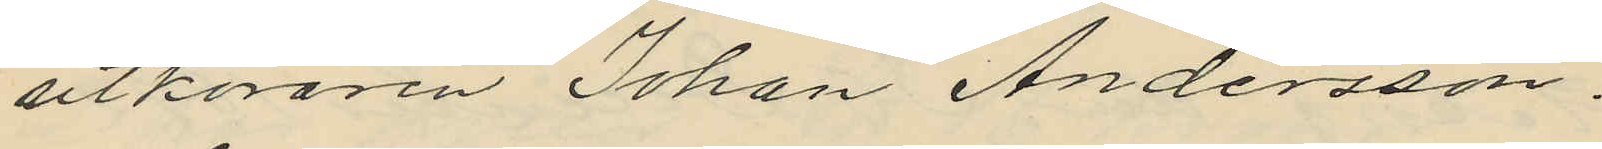utköraren Johan Andersson.
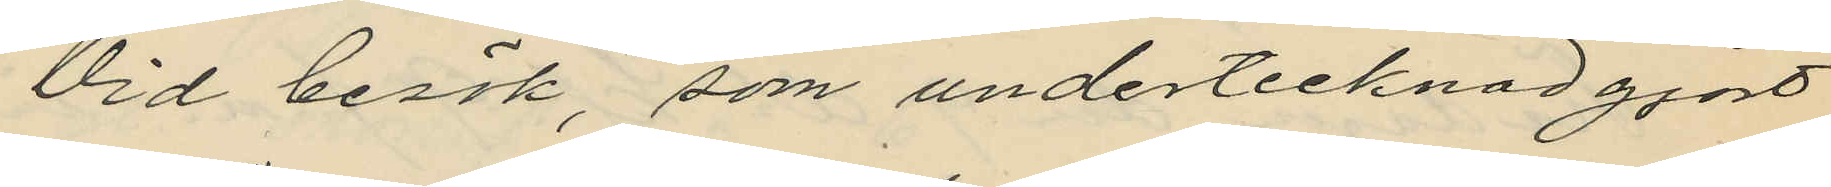Vid besök, som undertecknad gjort
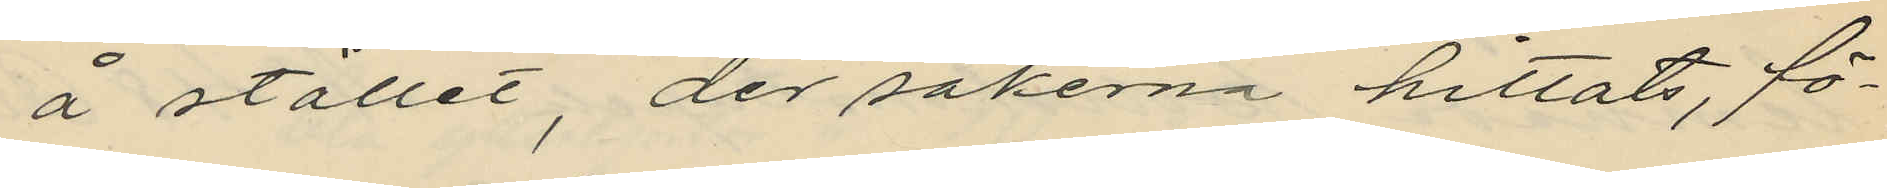å stället, der sakerna hittats, fö¬
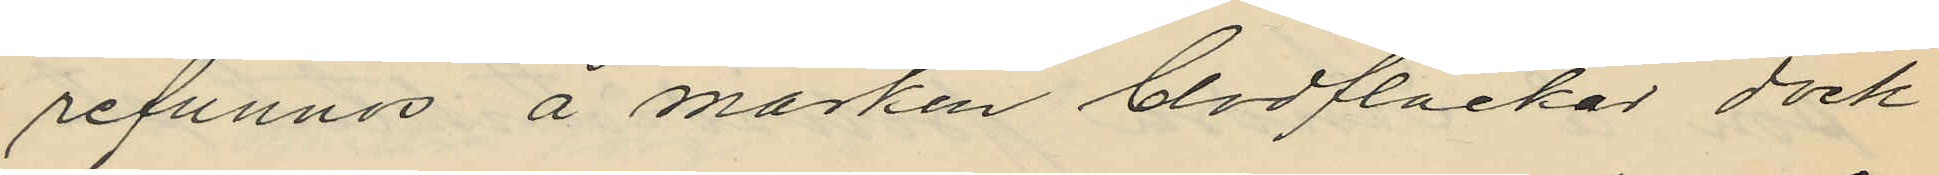refunnos å marken blodfläckar dock
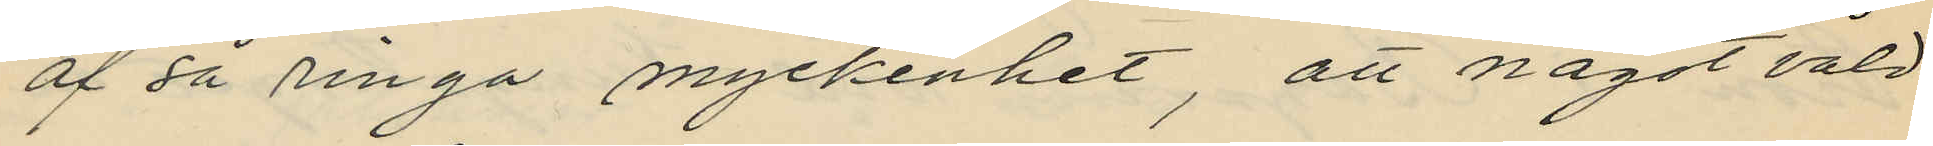af då ringa myckenhet, att något våld
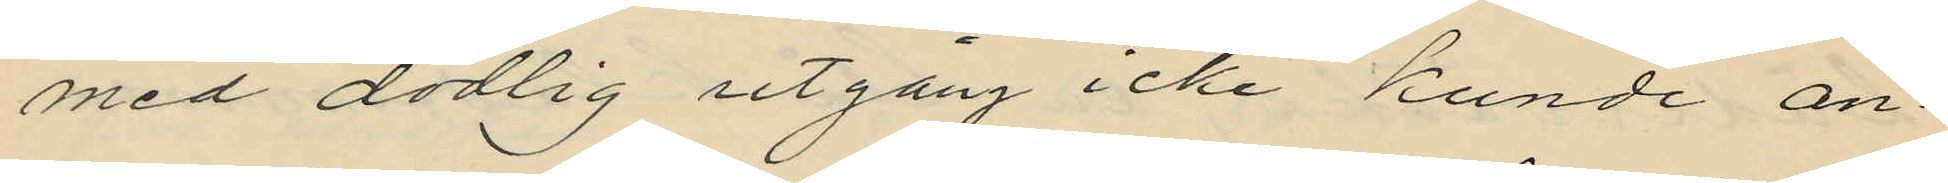med dödlig utgång icke kunde an¬
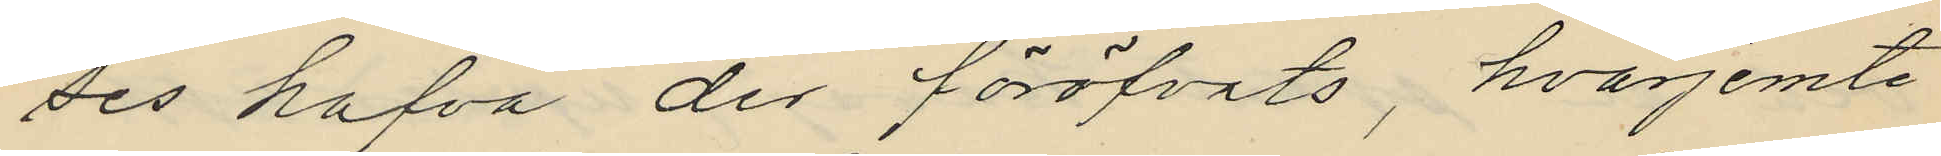des hafva der föröfvats, hvarjemte
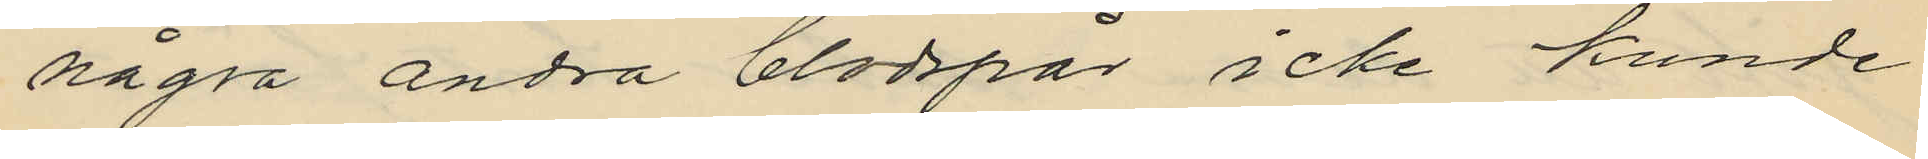några andra blodspår icke kunde
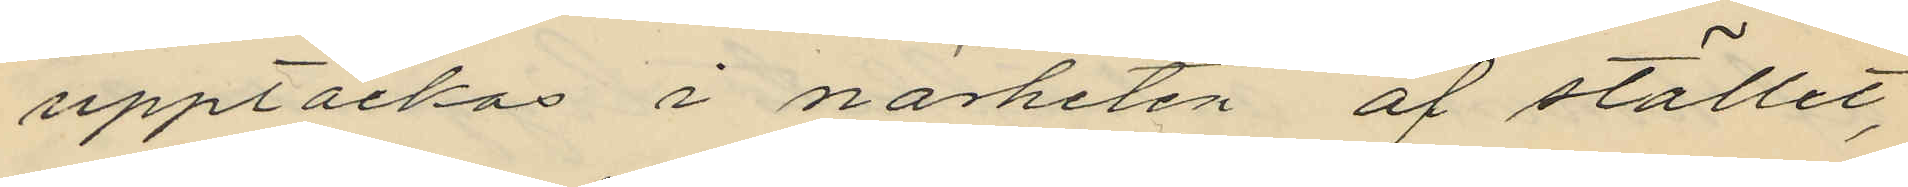upptäckas i närheten af stället,
